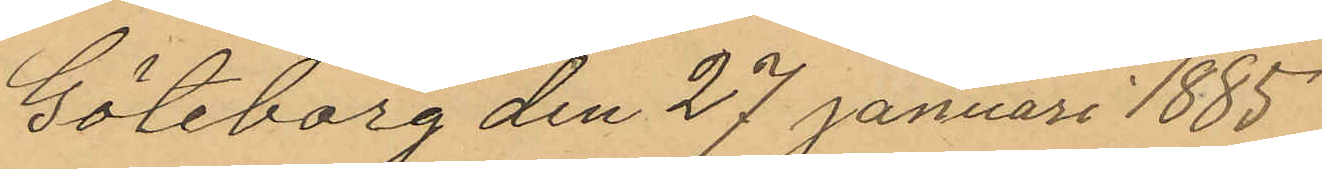Göteborg den 27 Januari 1885.
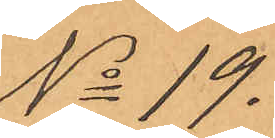No 19.
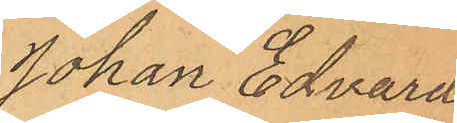Johan Edvard
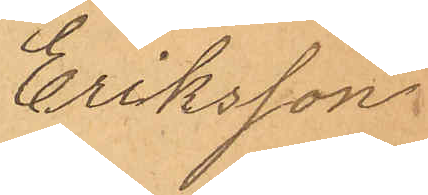Eriksson
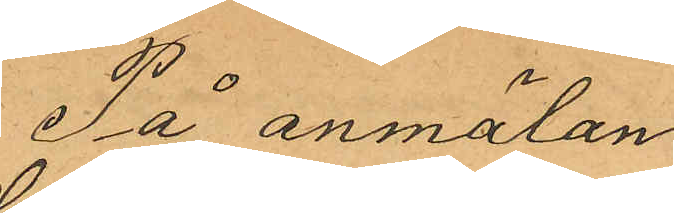På anmälan
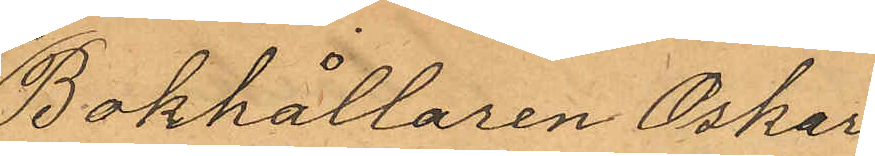Bokhållaren Oskar
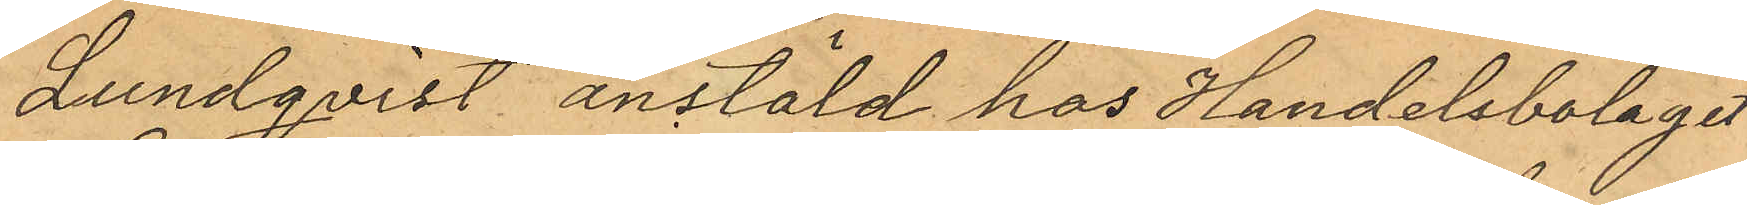Lundqvist anstäld hos Handelsbolaget
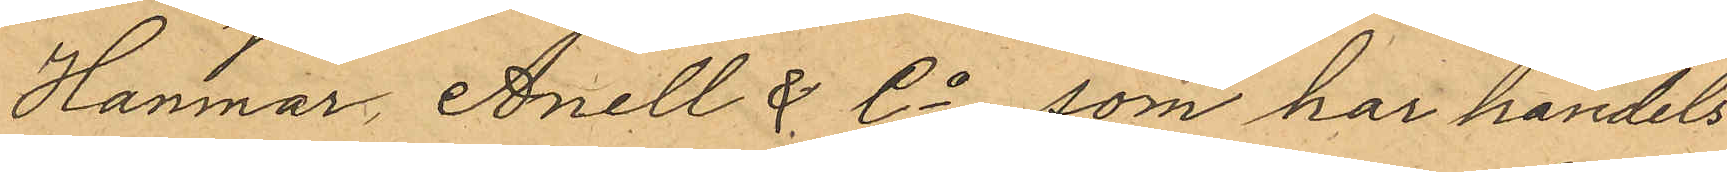Hanmar, Anell & Co, som har handels
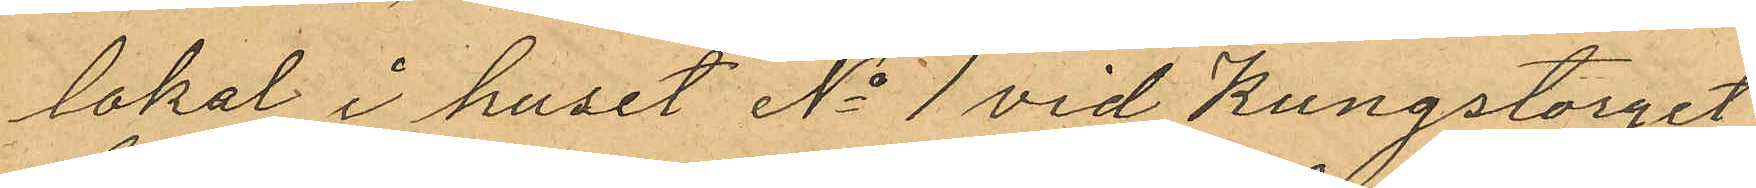lokal i huset No 1 vid Kungstorget
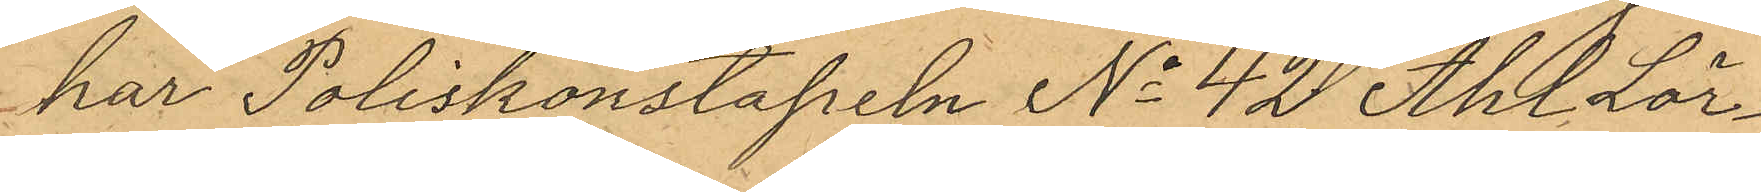har Poliskonstapeln No 42 Ahl Lör¬
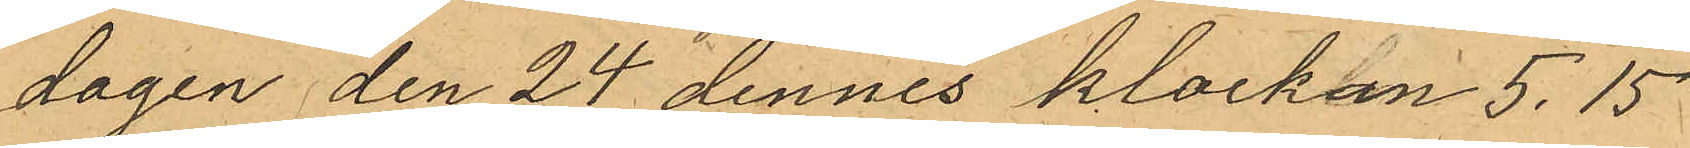dagen den 24 dennes klockan 5.15
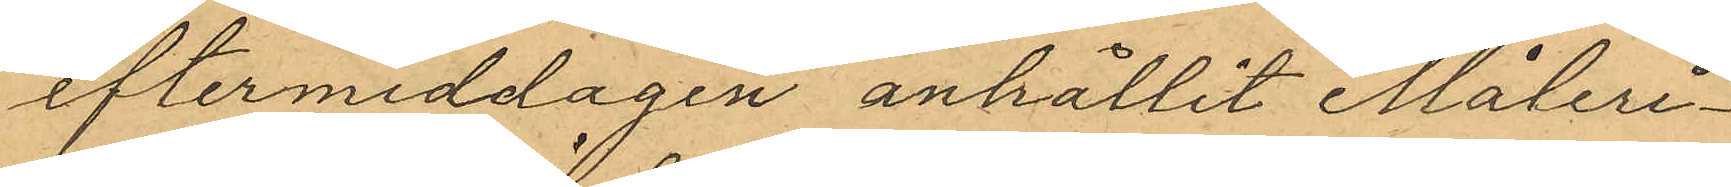eftermiddagen anhållit Måleri¬
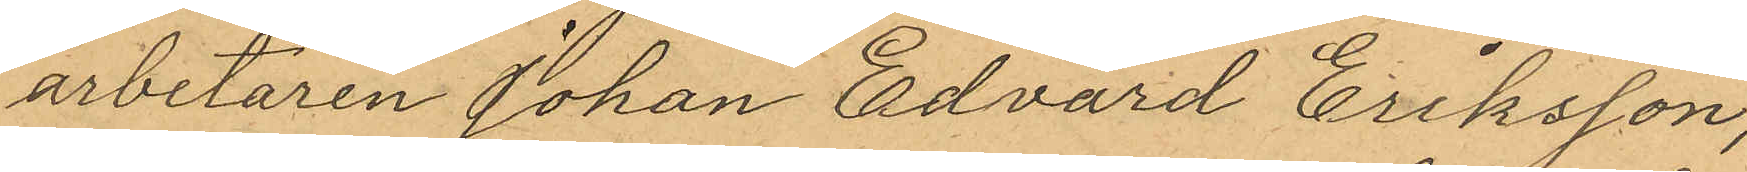arbetaren Johan Edvard Eriksson,
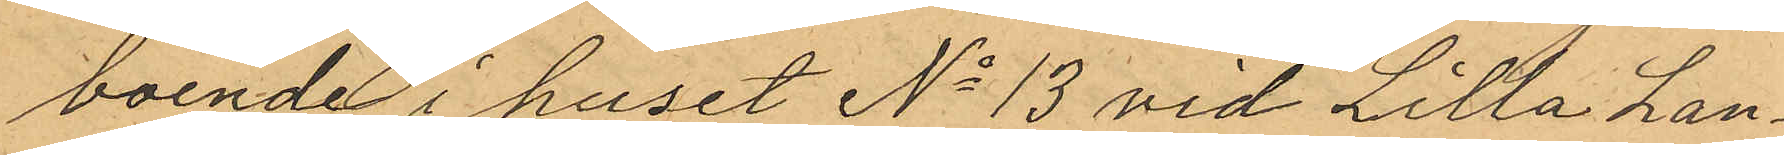boende i huset No 13 vid Lilla Lan¬
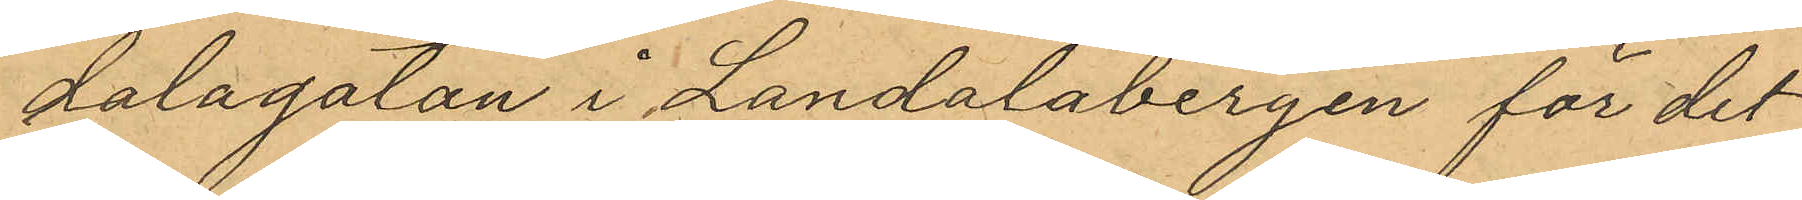dalagatan i Landalabergen för det
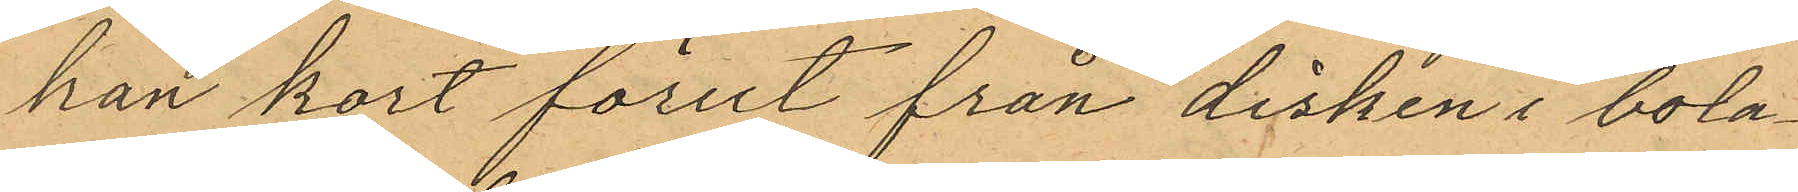han kort förut från disken i bola¬
